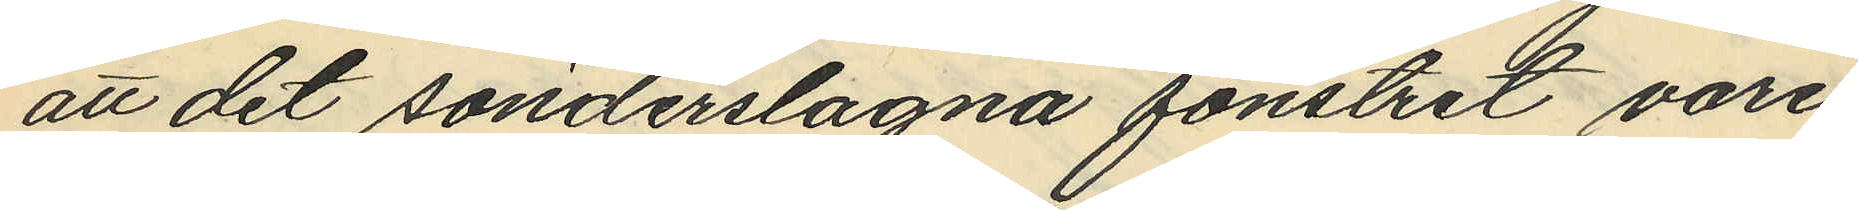att det sönderslagna fönstret vore
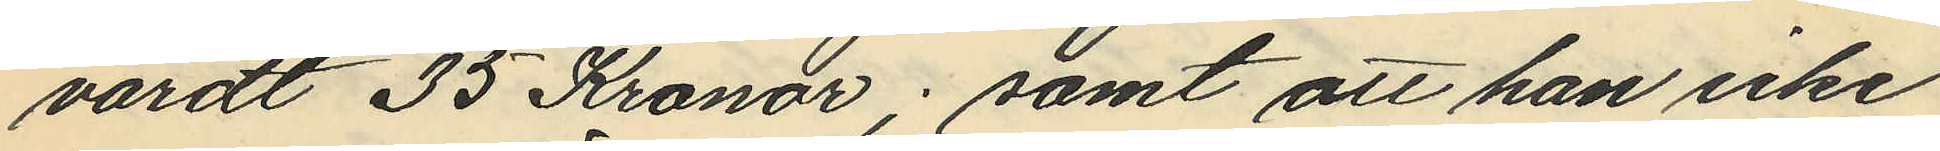värdt 35 Kronor; samt att han icke
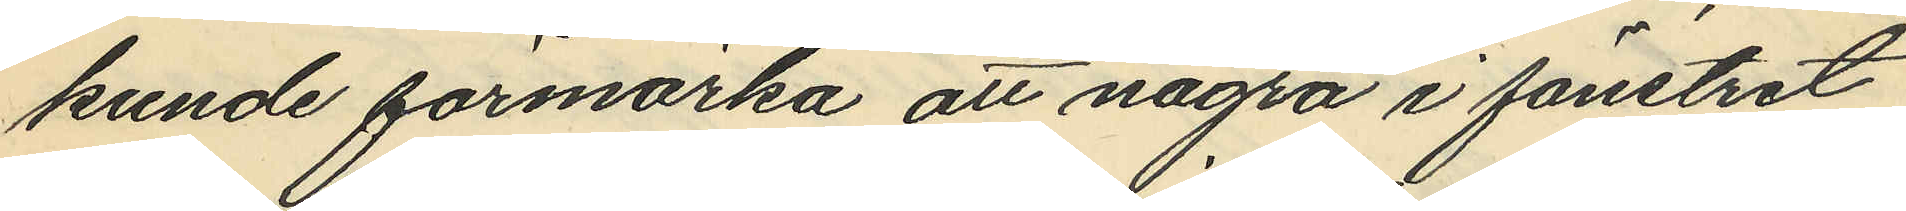kunde förmärka att några i fönstret
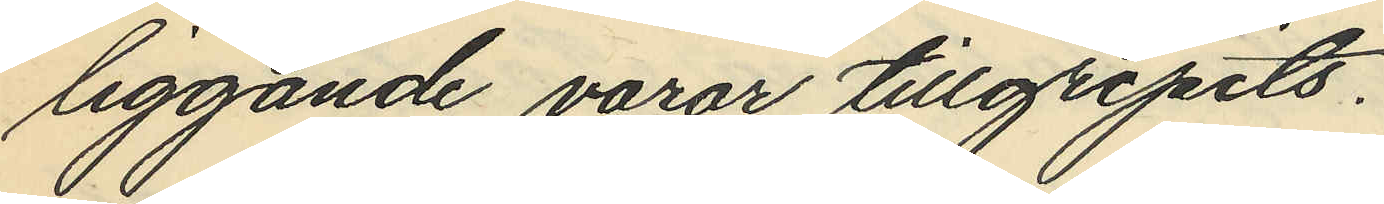liggande varor tillgripits.
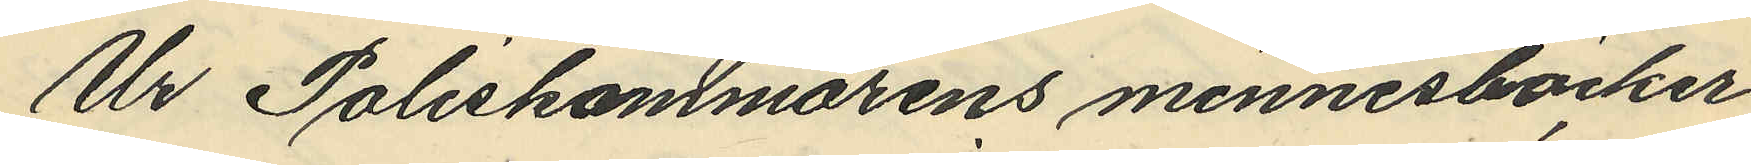Ur Poliskammarens minnesböcker
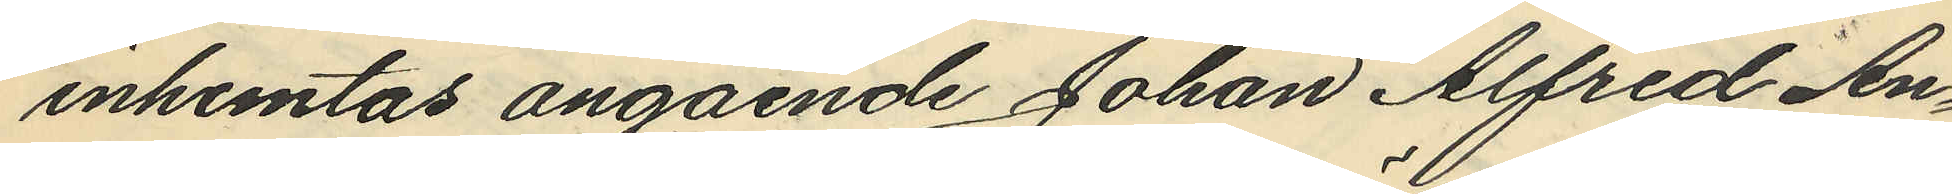inhemtas angående Johan Alfred An¬
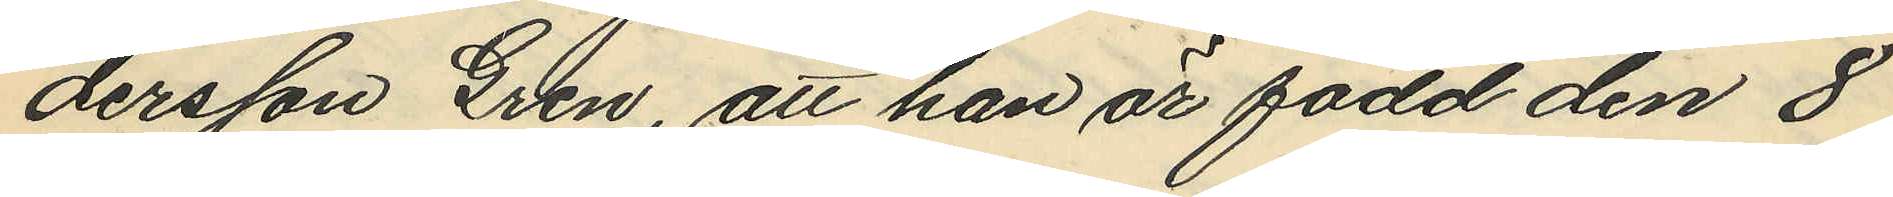dersson Gren, att han är född den 8
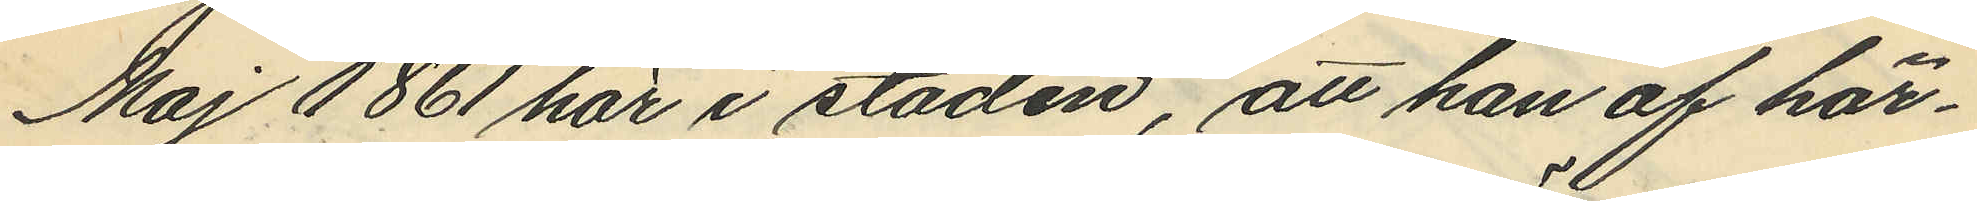Maj 1861 här i staden, att han af här¬
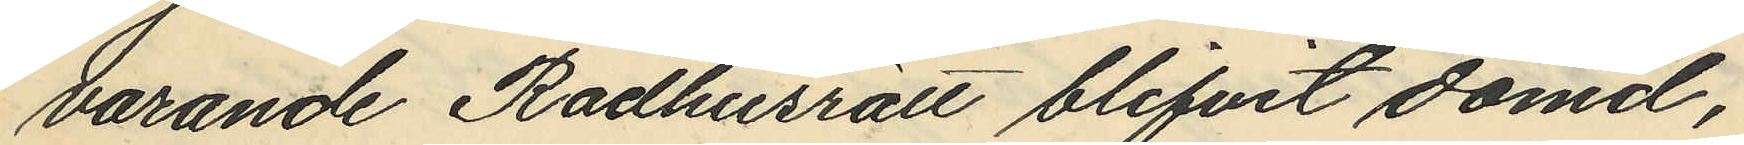varande Rådhusrätt blifvit dömd,
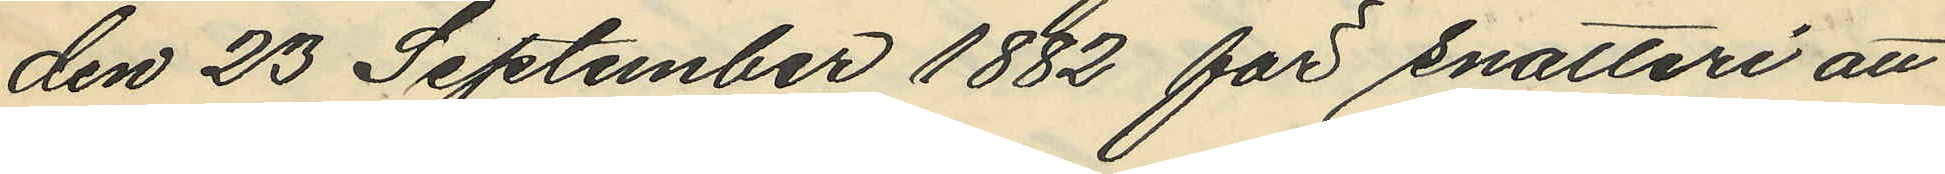den 23 September 1882 för snatteri att
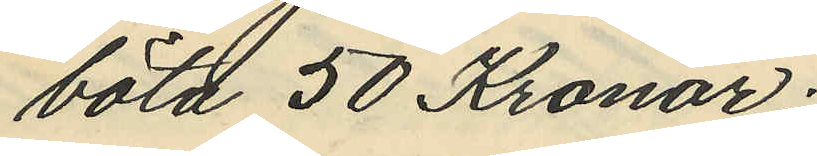böta 50 Kronor;
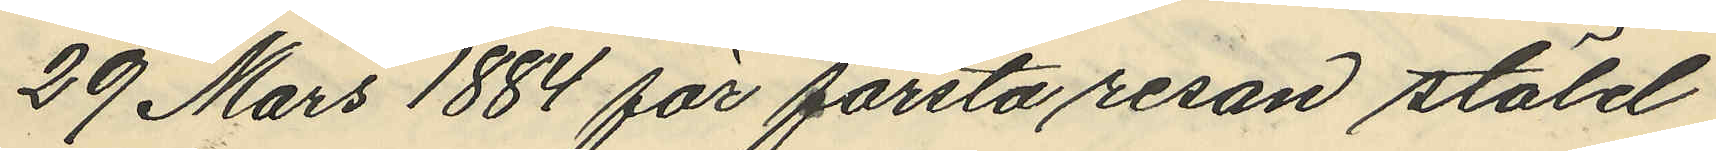29 Mars 1884 för första resan stöld
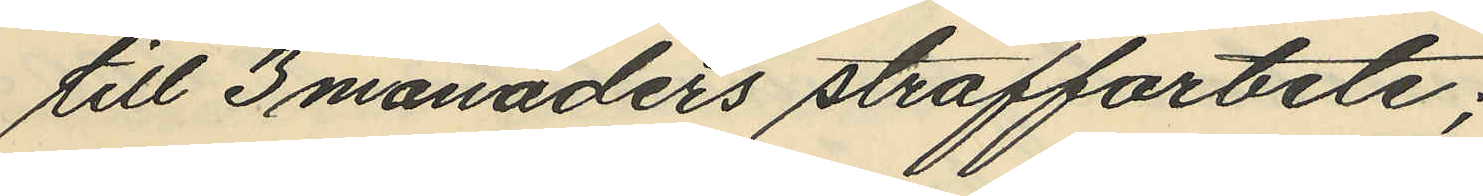till 3 månaders straffarbete;
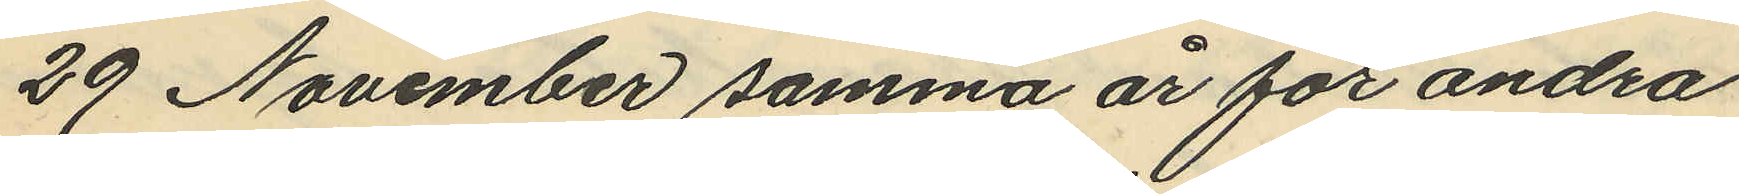29 November samma år för andra
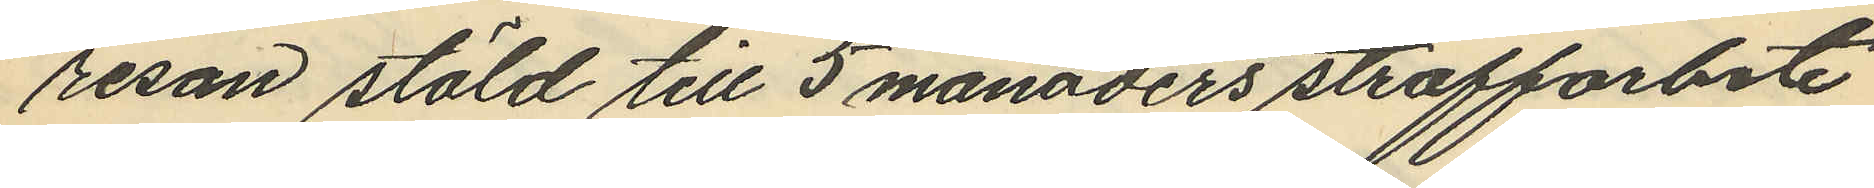resan stöld till 5 månaders straffarbete
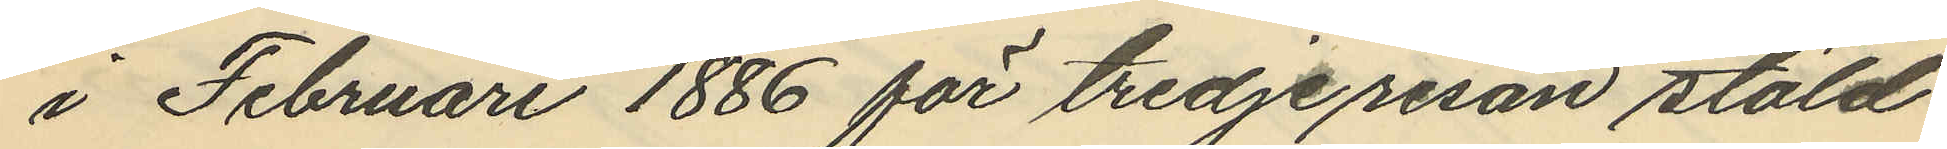i Februari 1886 för tredje resan stöld
